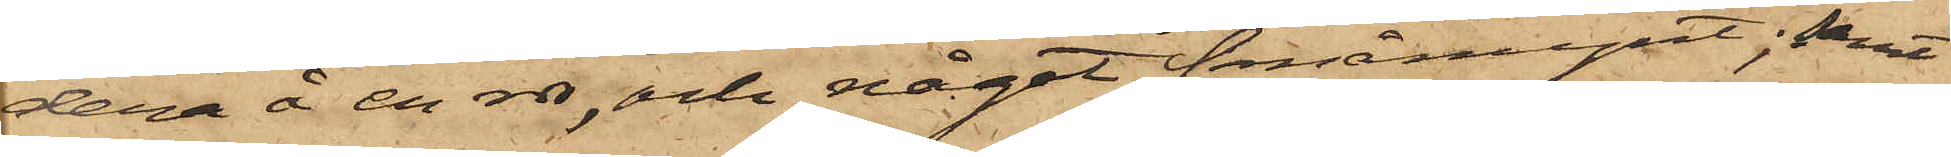dera å en rdr, och något småmynt; samt
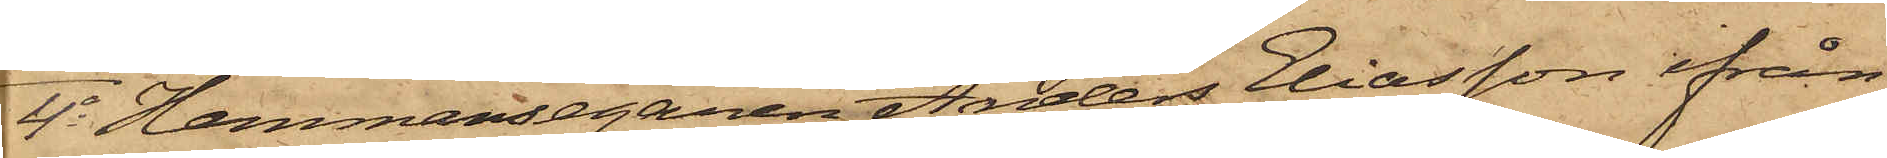4o Hemmansegaren Anders Eliasson ifrån
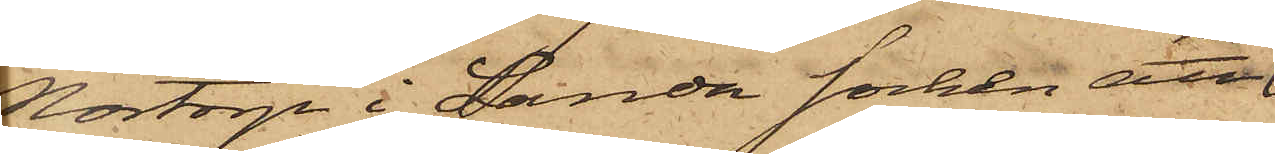Nortorp i Landa socken att
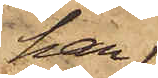han
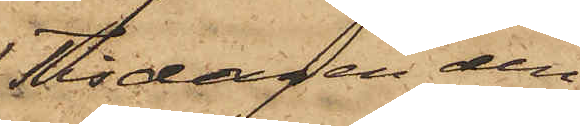Tisdagen den
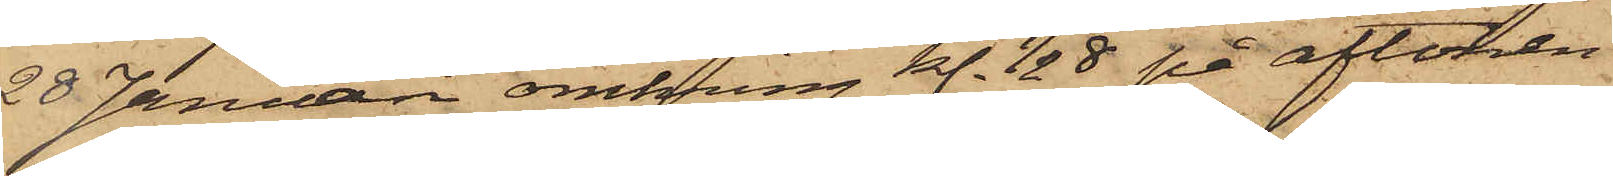20 Januari omkring kl. 1/2 8 på aftonen
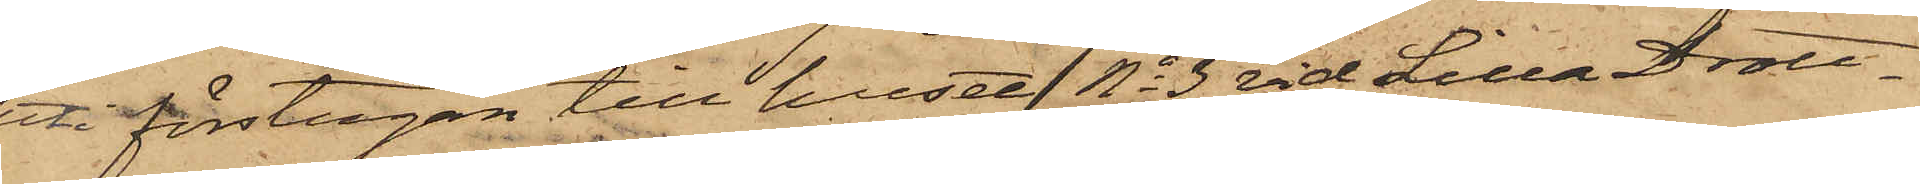ett förstugan till huset No 3 vid Lilla Drott¬
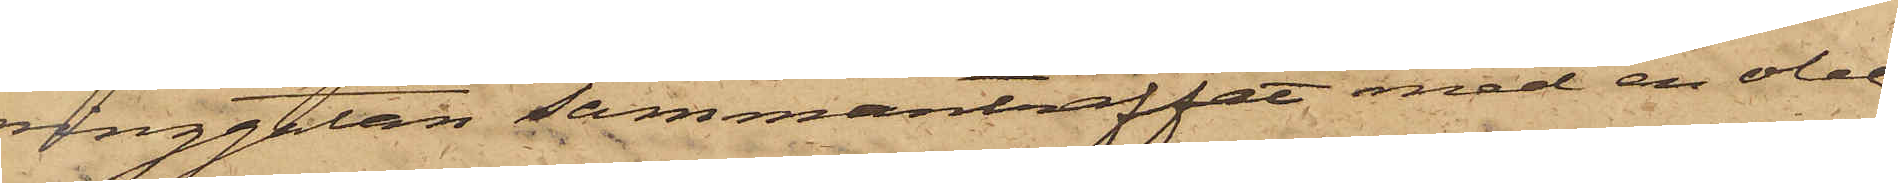ninggatan sammanträffat med en obe¬
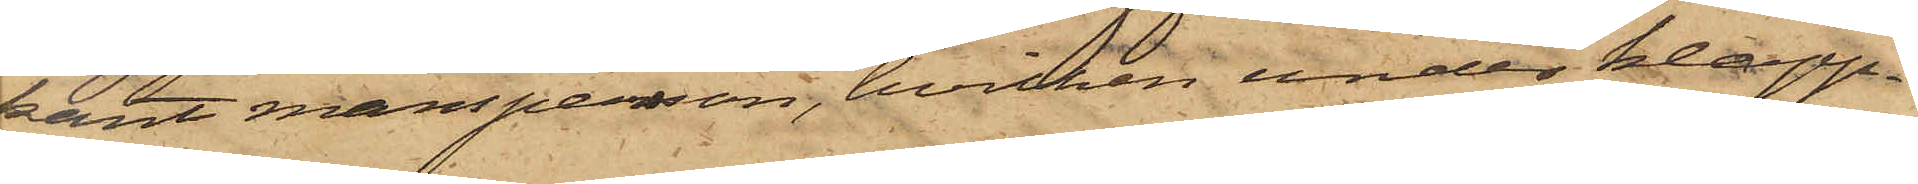kant mansperson, hvilken under klapp¬
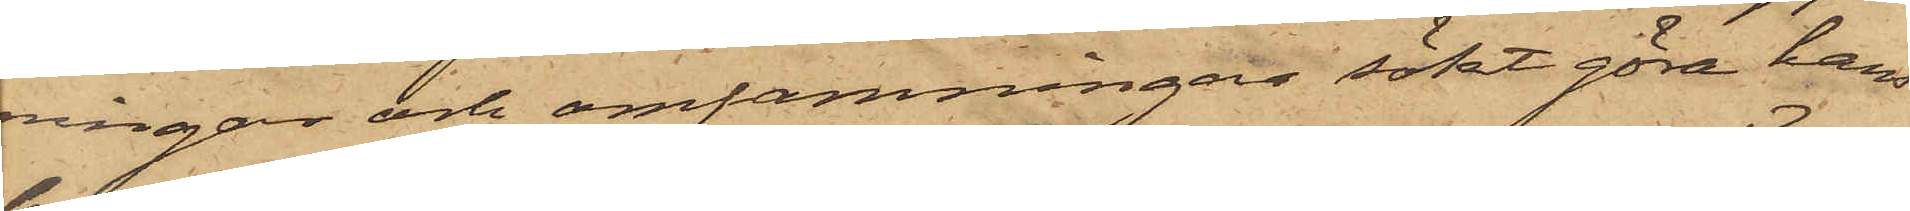ningar och omfamningar sökt göra hans
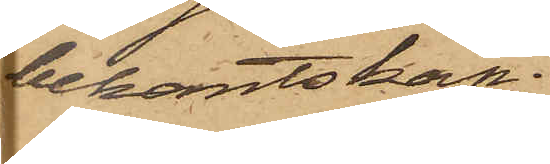bekantskap;
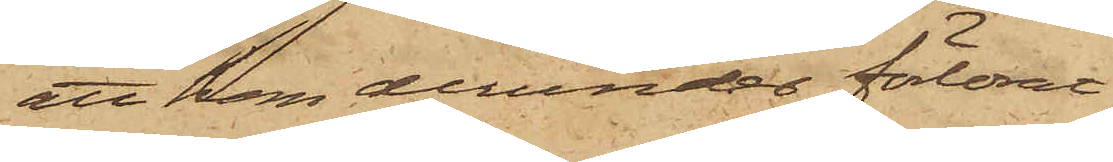att han derunder förlorat
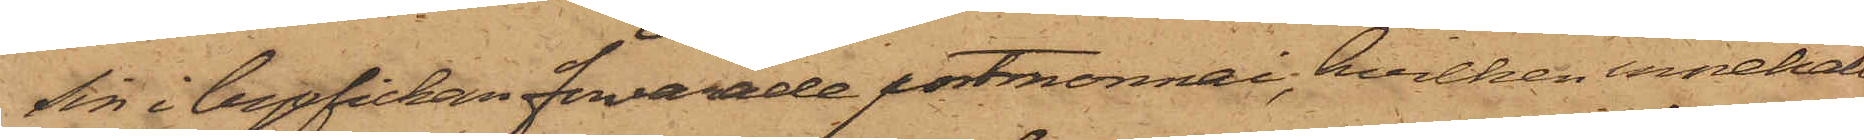sin i byxfickan förvarade portmonnai, hvilken innehållit
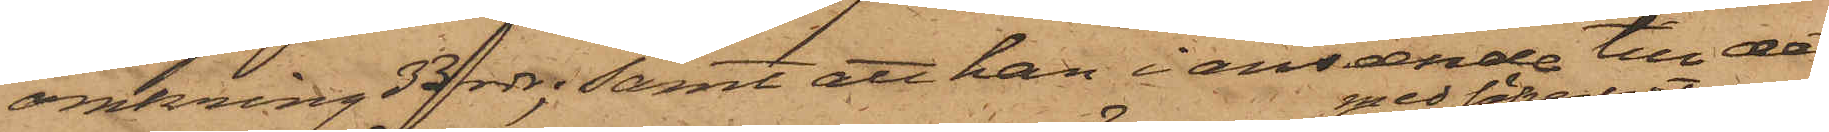omkring 33 rdr; samt att han i anseende till det
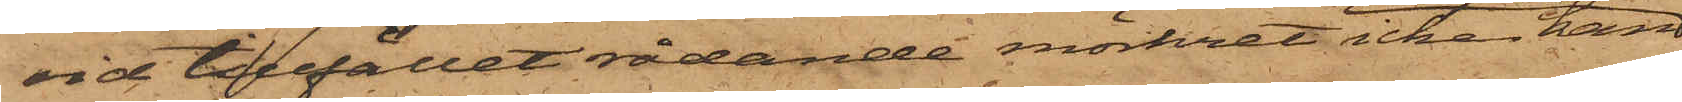vid tillfället rådande mörkret icke kan
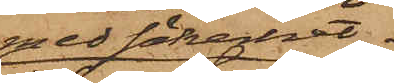med säkerhet
